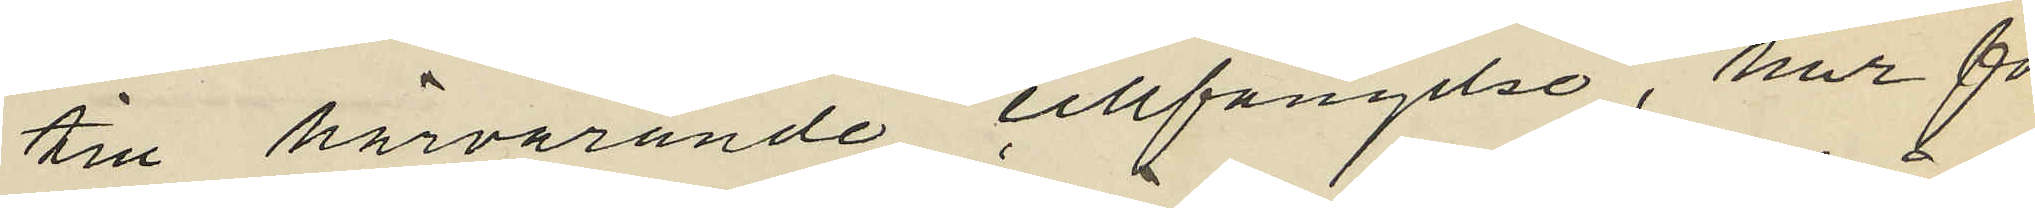till härvarande cellfängelse, har för
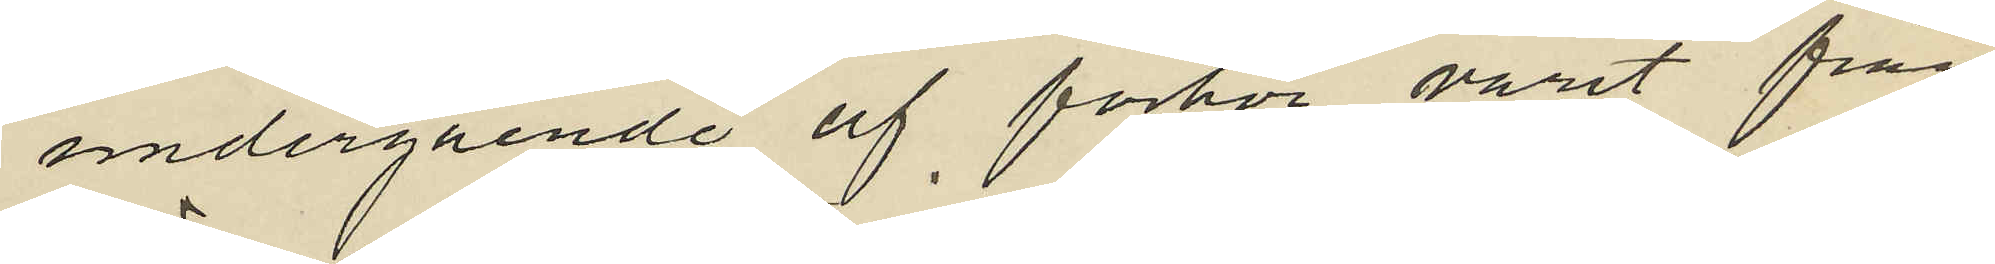undergående af förhör varit från
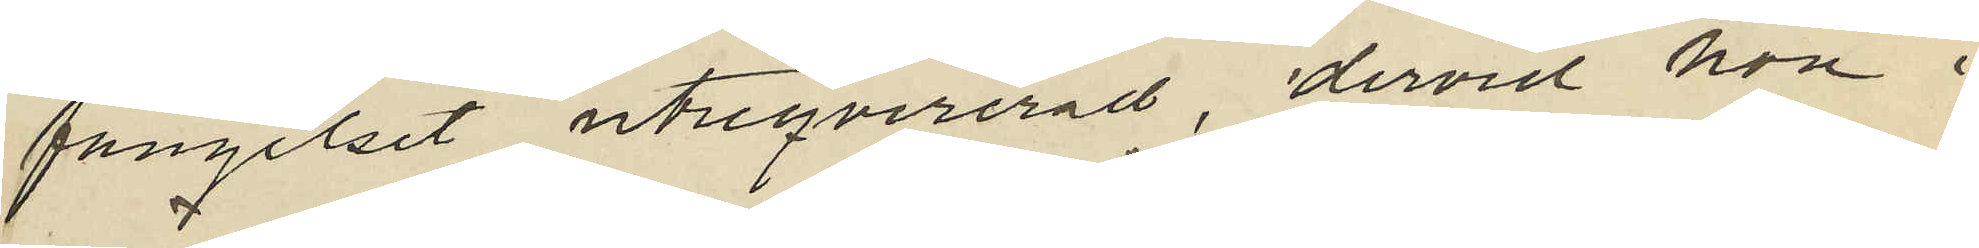fängelset utreqvirerad, dervid hon i
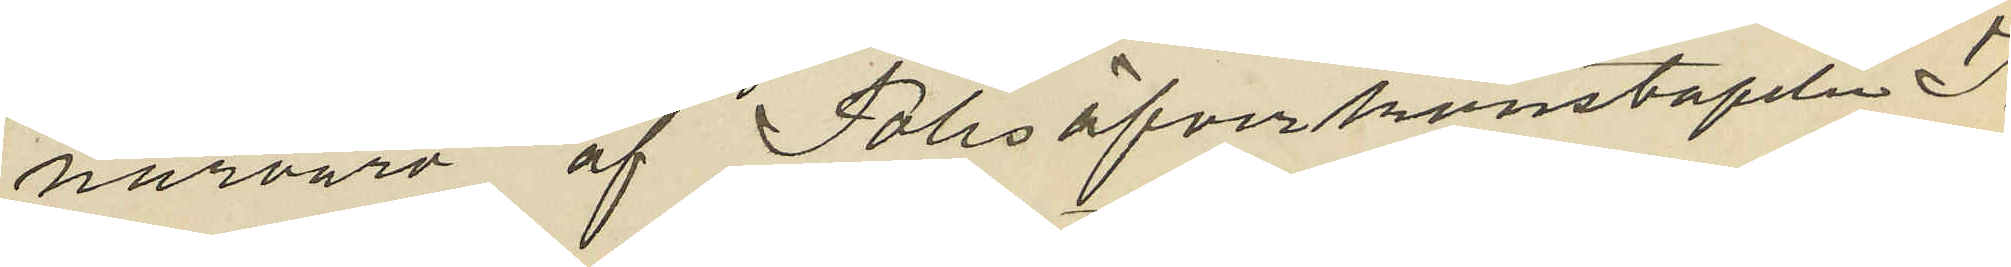närvaro af Polisöfverkonstapeln J.
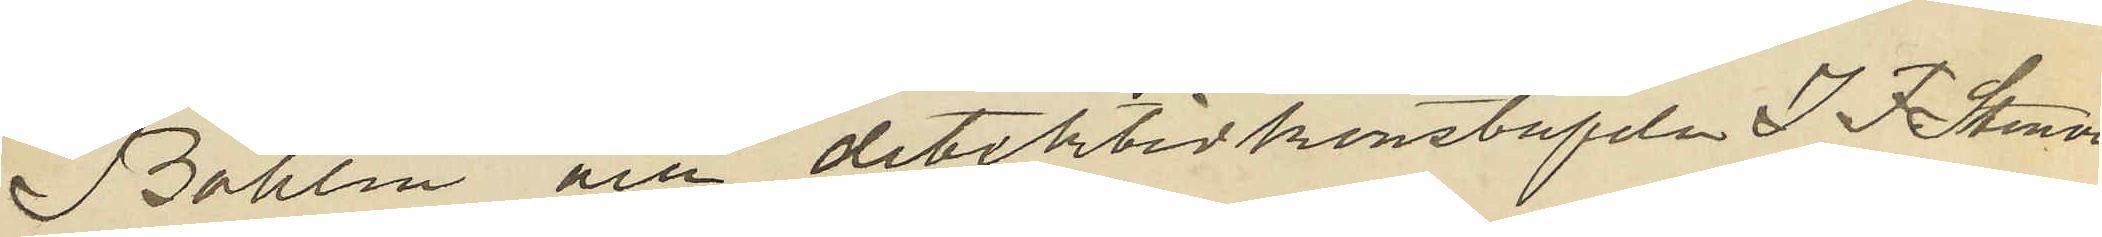Bohlin och detektivkonstapeln J. F. Stenvall
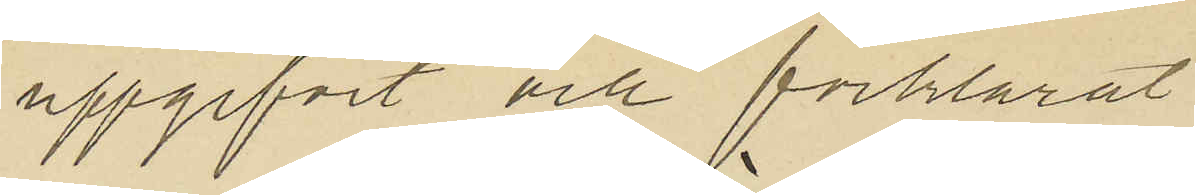uppgifvit och förklarat:
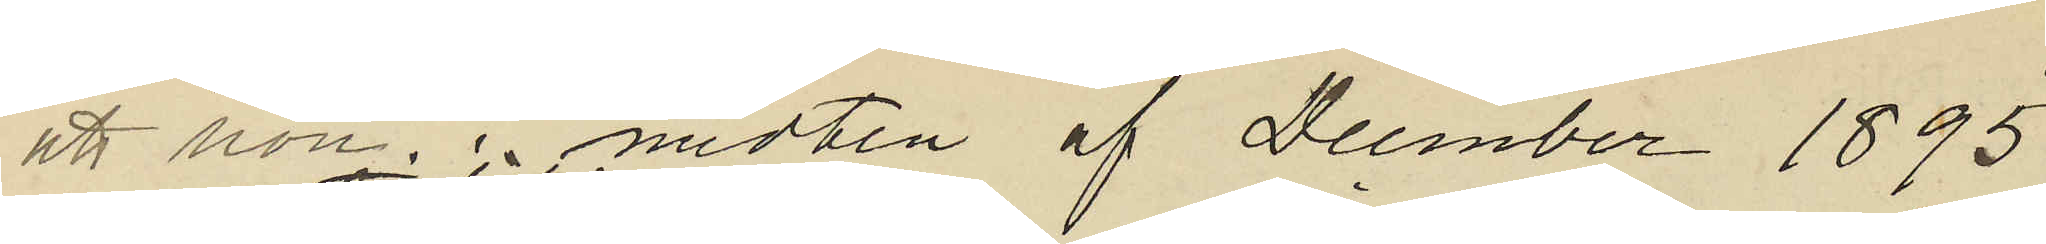att hon i midten af Decmber 1895
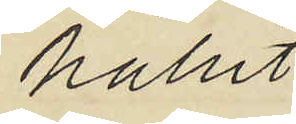hållit
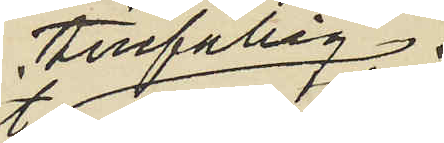tillfällig
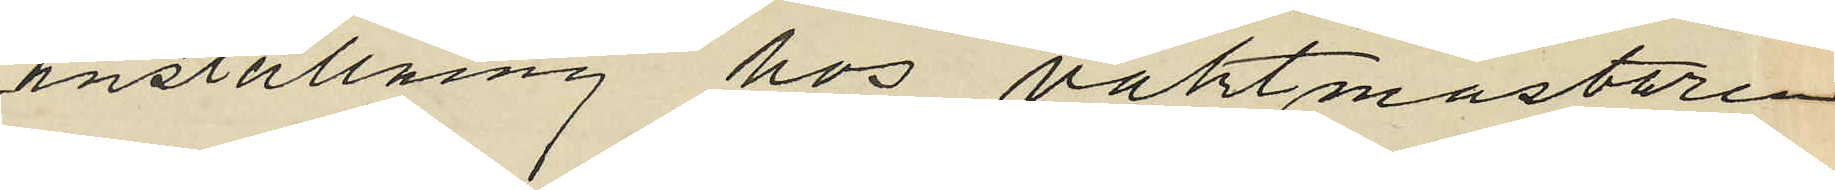anställning hos vaktmästaren
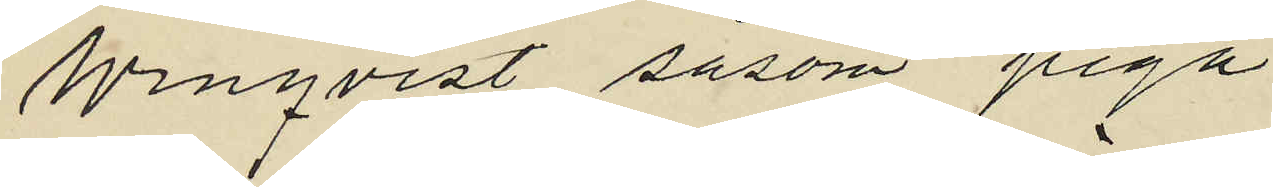Winqvist såsom piga.
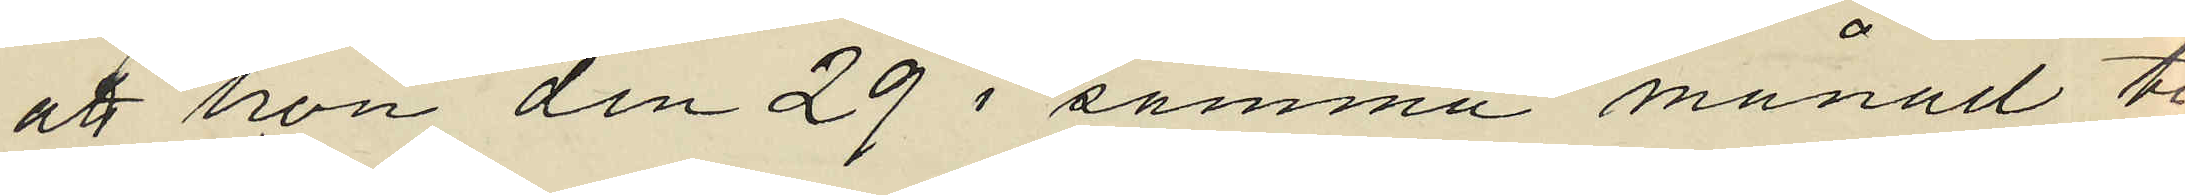att hon den 29 i samma månad ti
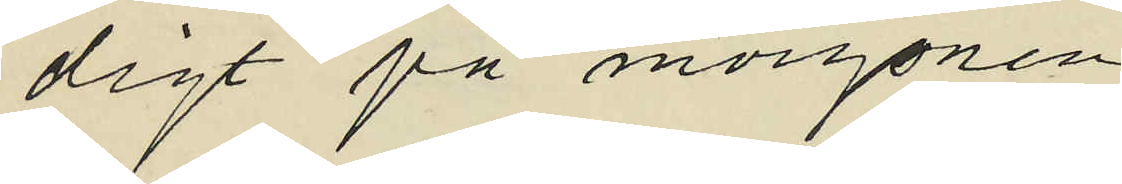digt på morgonen
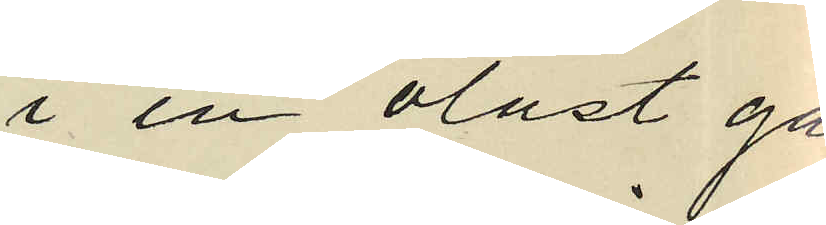i en olåst gar
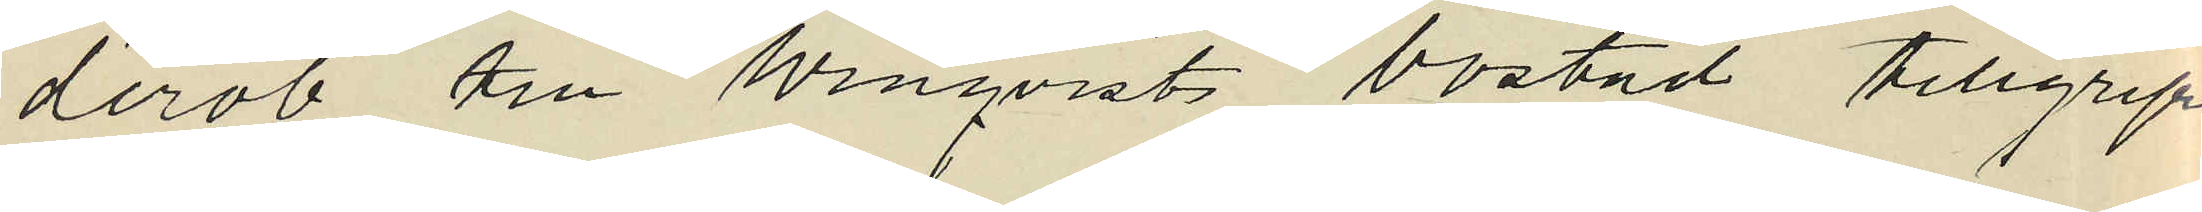derob till Winqvists bostad tillgripit
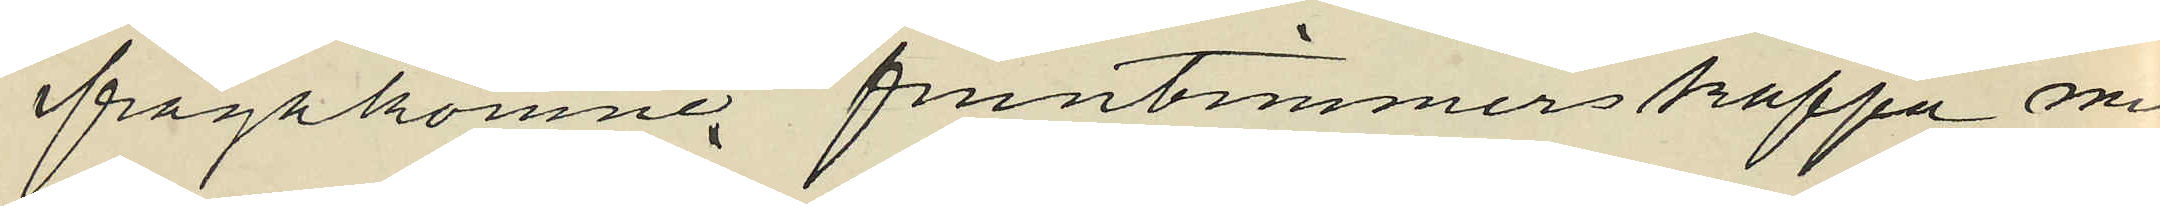ifrågakomne fruntimmerskappa med
